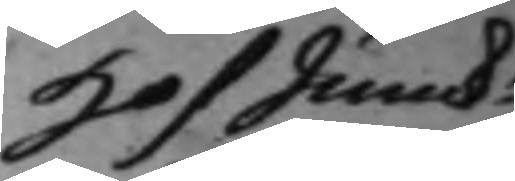HofJunck:
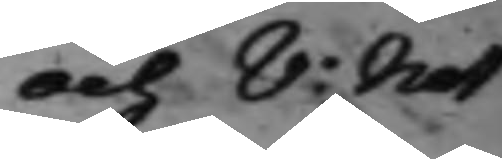och V: Not 
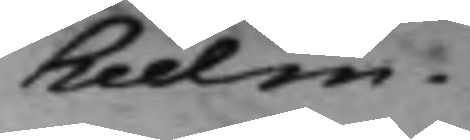hielm.
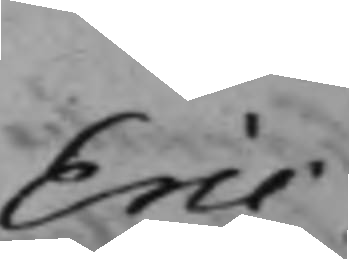Eric
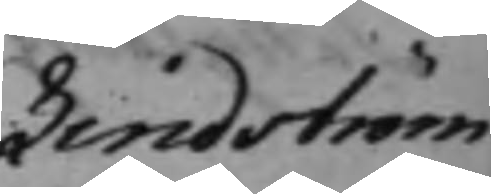Lindström
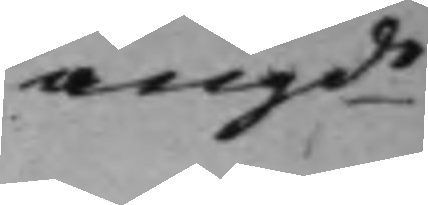angde 
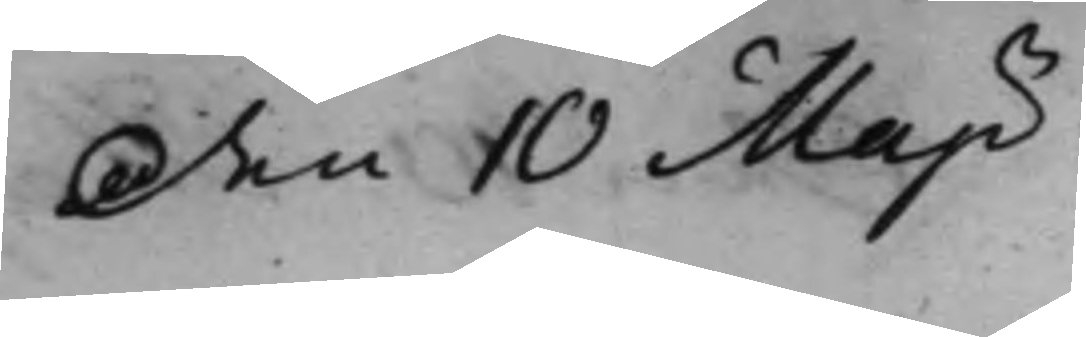den 10 Maji
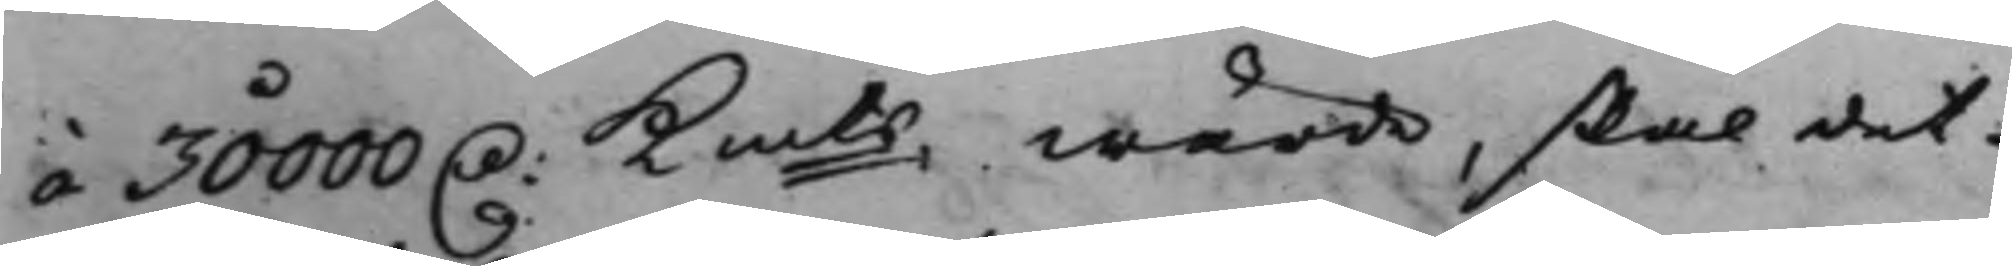á 30000 D: Kmts wärde, skal det
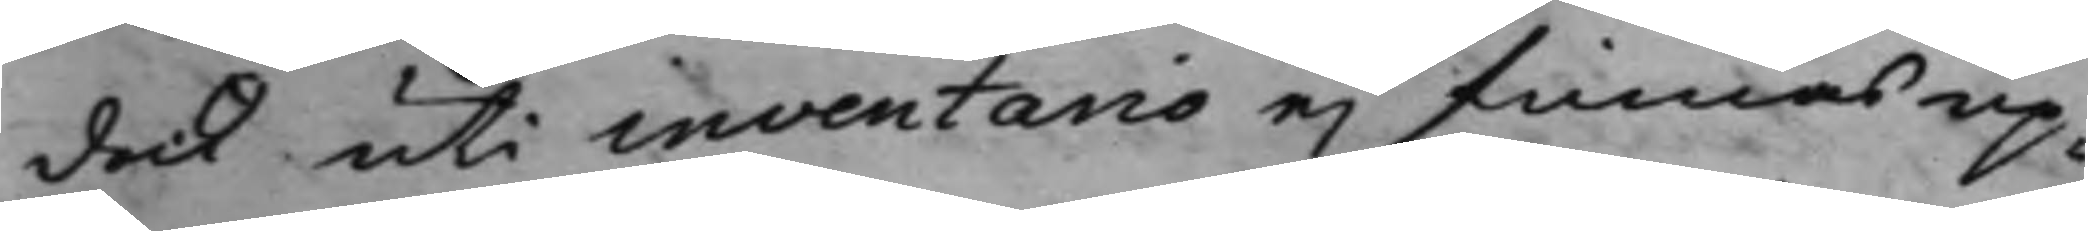dock uti inventario ej finnas up¬
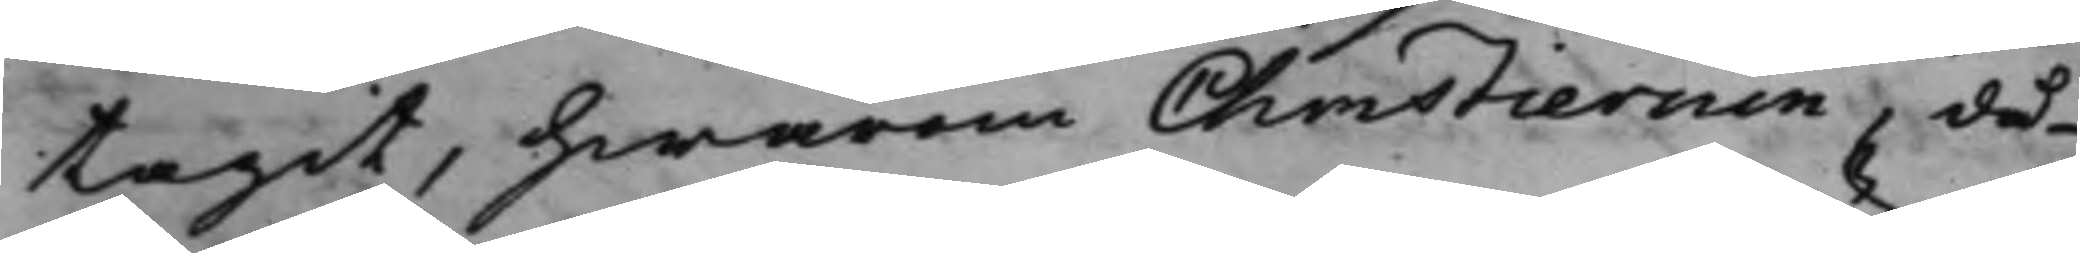tagit, hwarom Christiernin, då
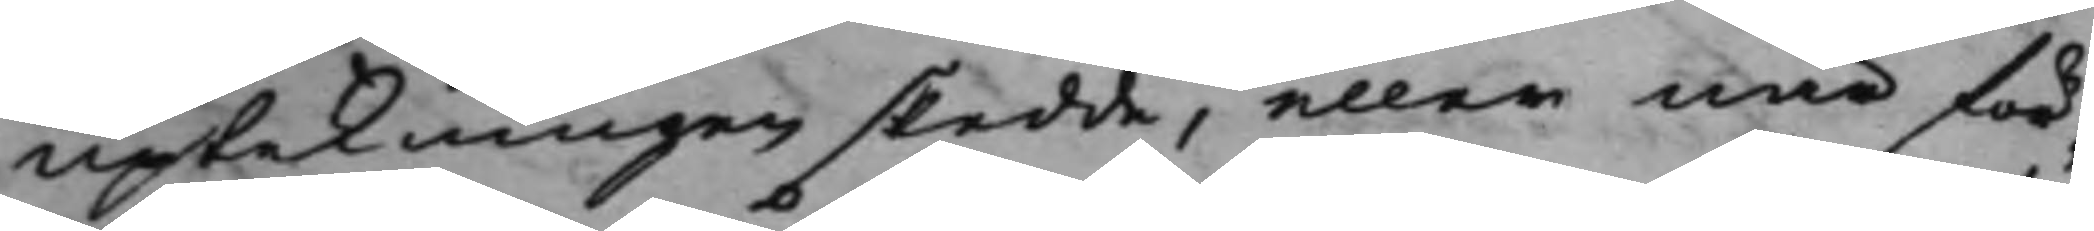uptekningen skedde, eller när för¬
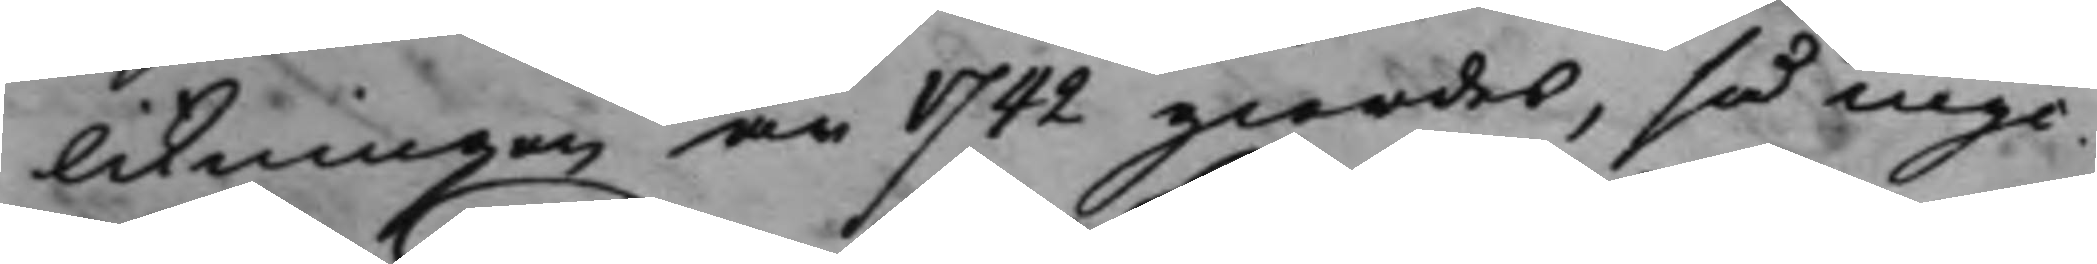likningen år 1742 giordes, så myc¬
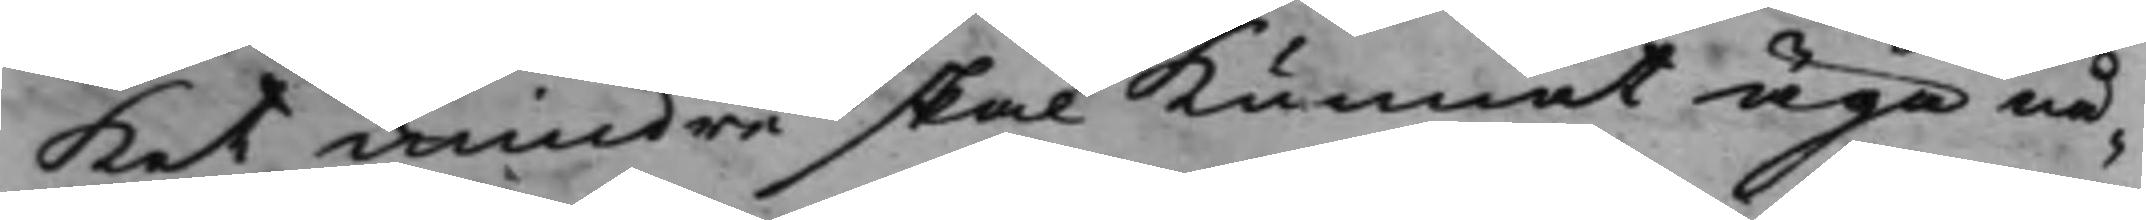ket mindre skal kunnat äga nå¬
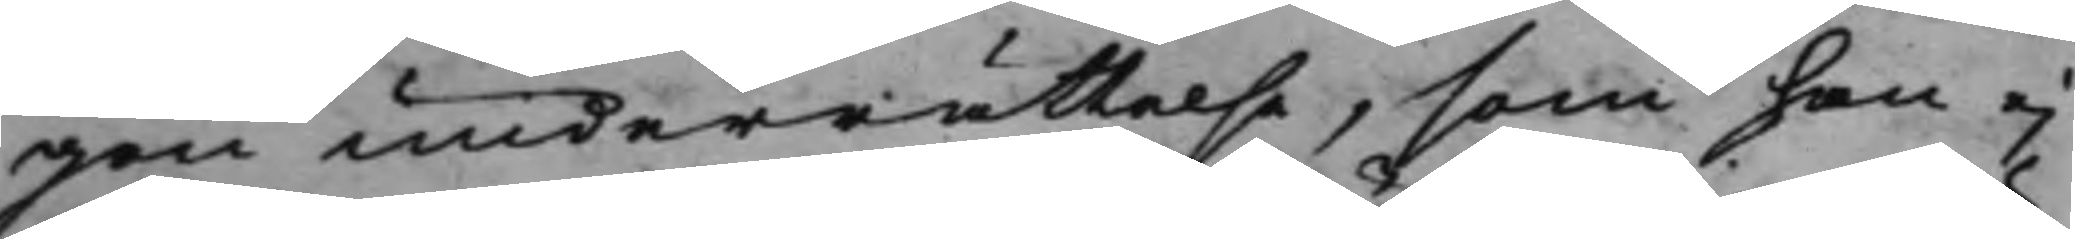gon underrättelse, som han ej
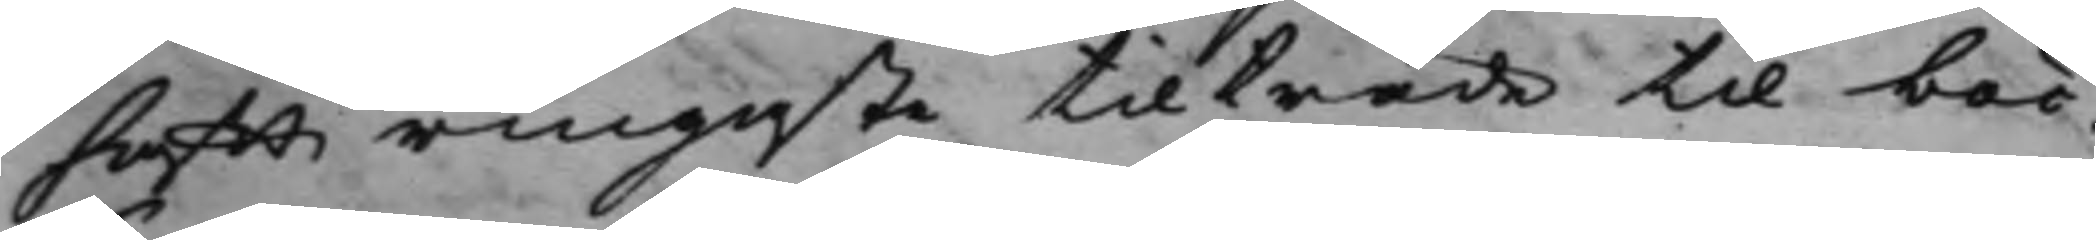hafft ringaste tilträde til böc¬
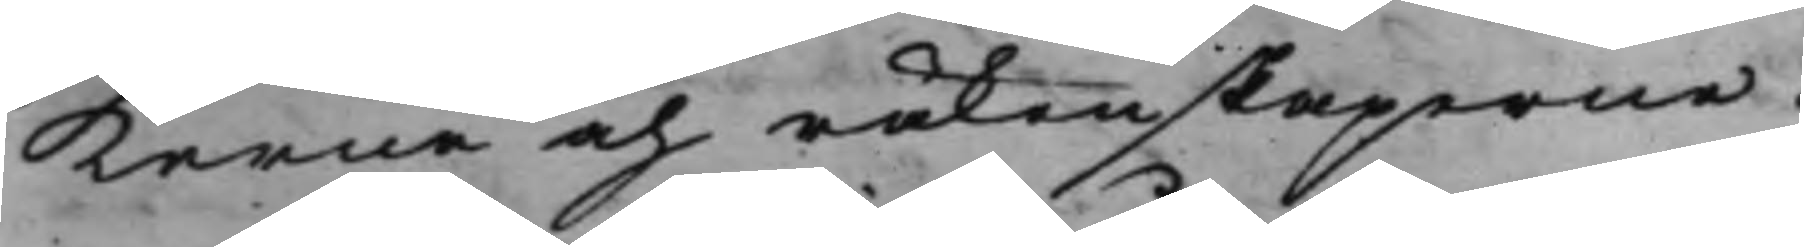kerne och räkenskaperne.
